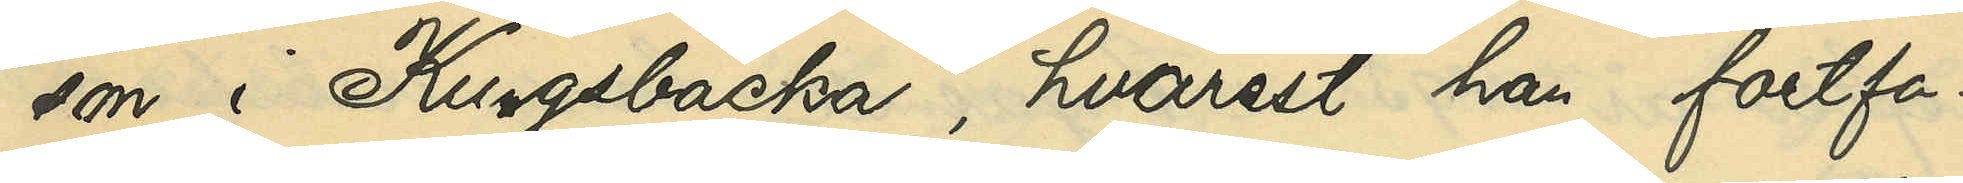son i Kungsbacka, hvarest han fortfa¬
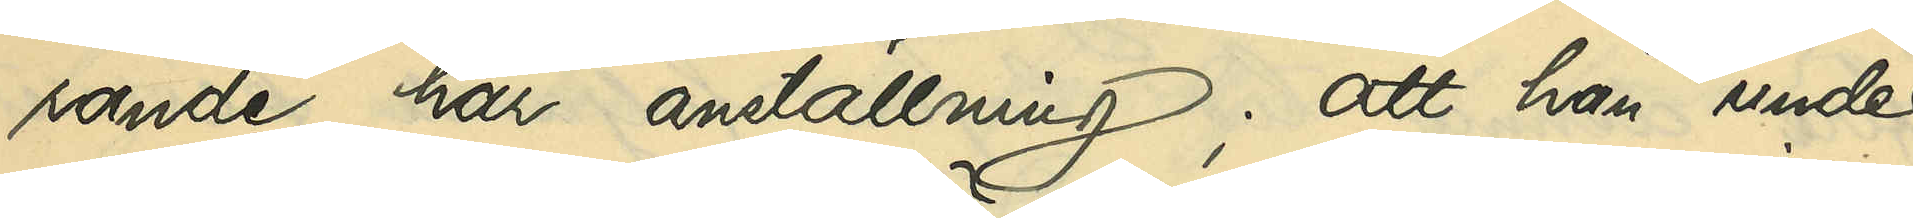rande har anställning; att han under
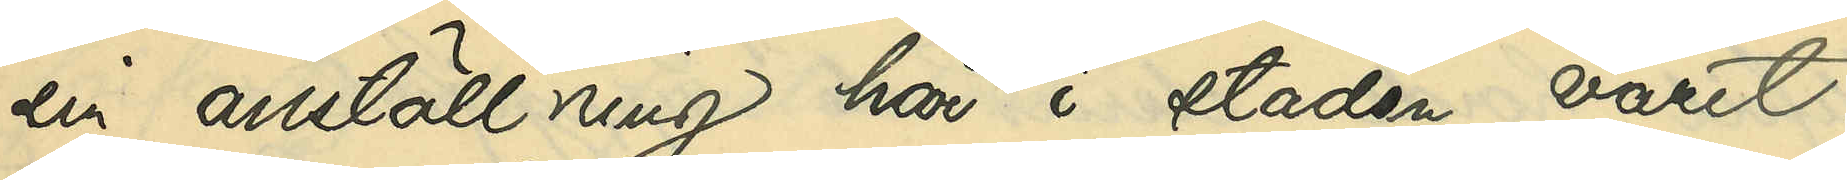sin anställning här i staden varit
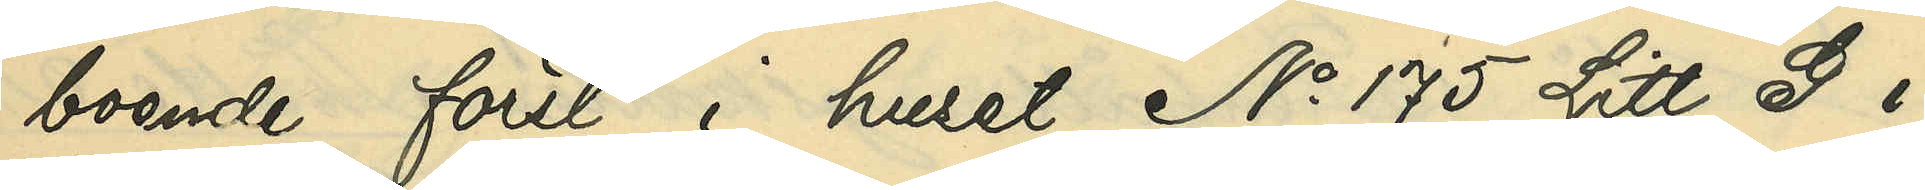boende först i huset No 175 Litt G i
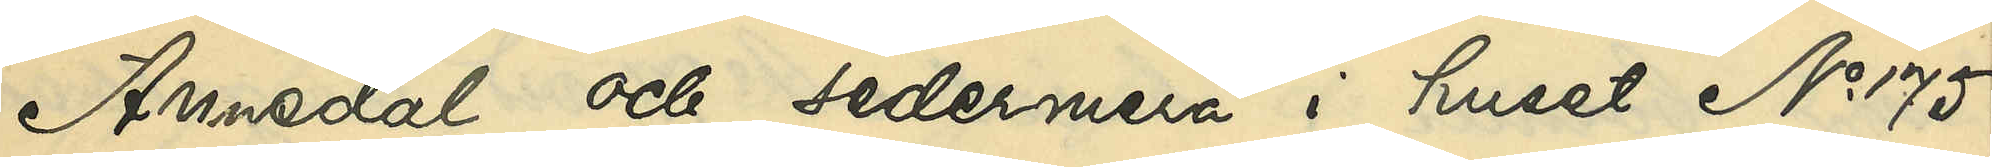Annedal och sedermera i huset No 175
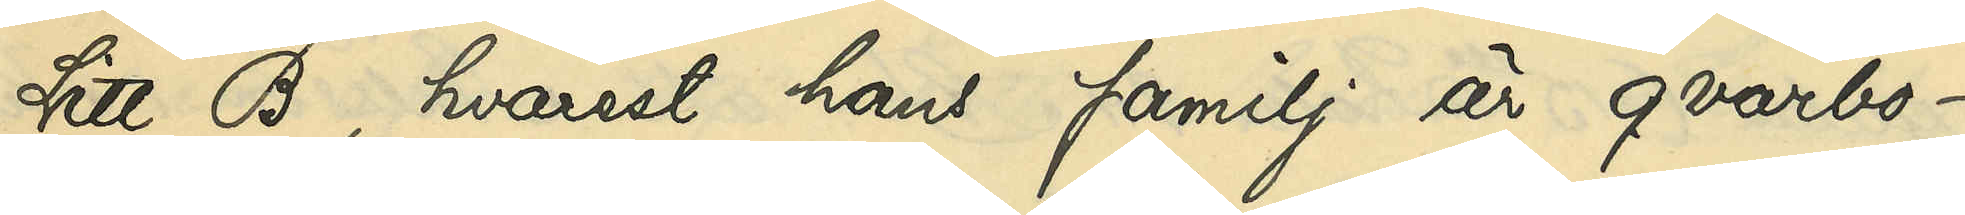Litt B, hvarest hans familj är qvarbo¬
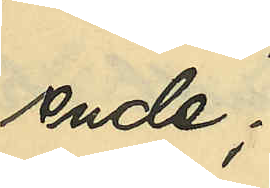ende
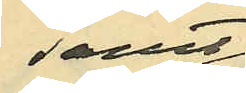samt
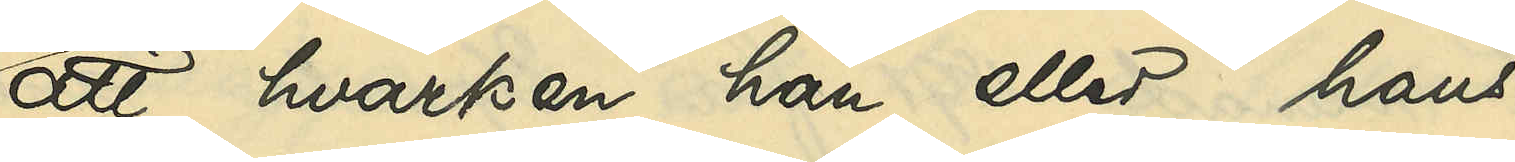att hvarken han eller hans
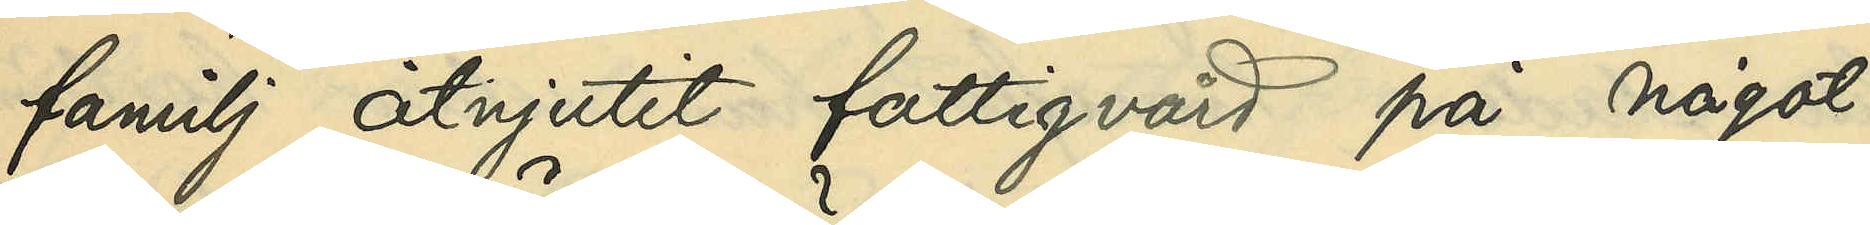familj åtnjutit fattigvård på något
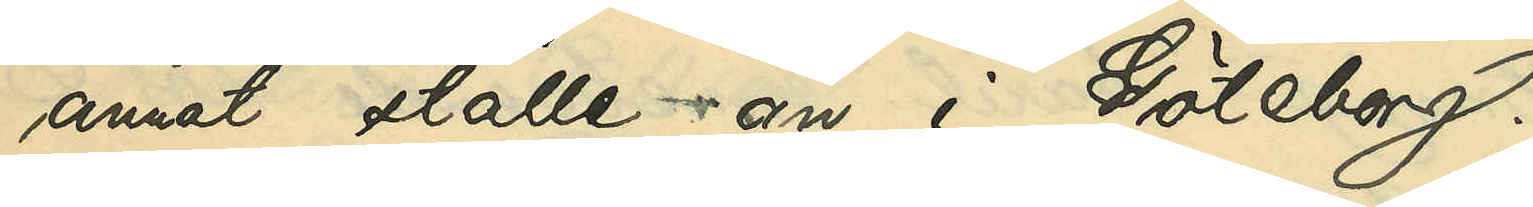annat ställe än i Göteborg;
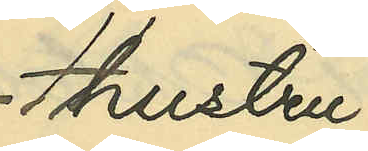Hustru
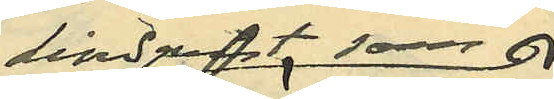Lindqvist som
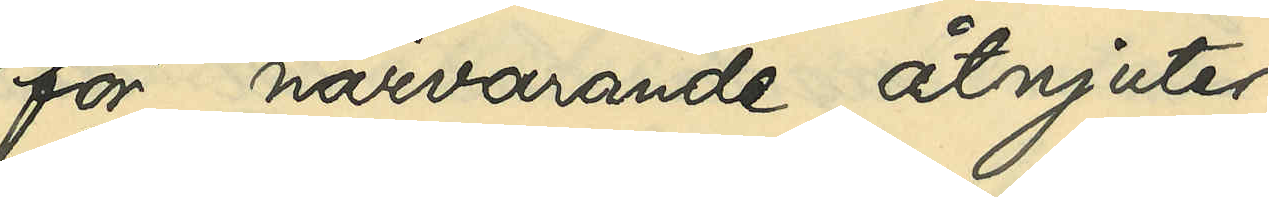för närvarande åtnjuter
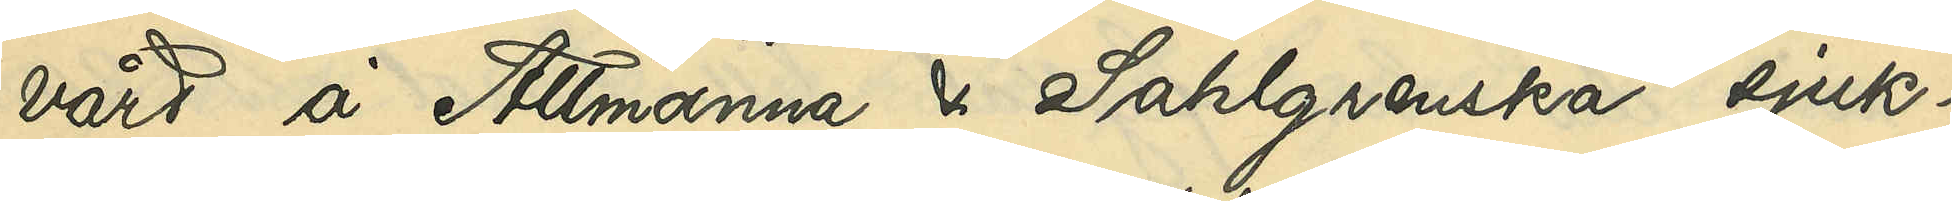vård å Allmänna och Sahlgrenska sjuk¬
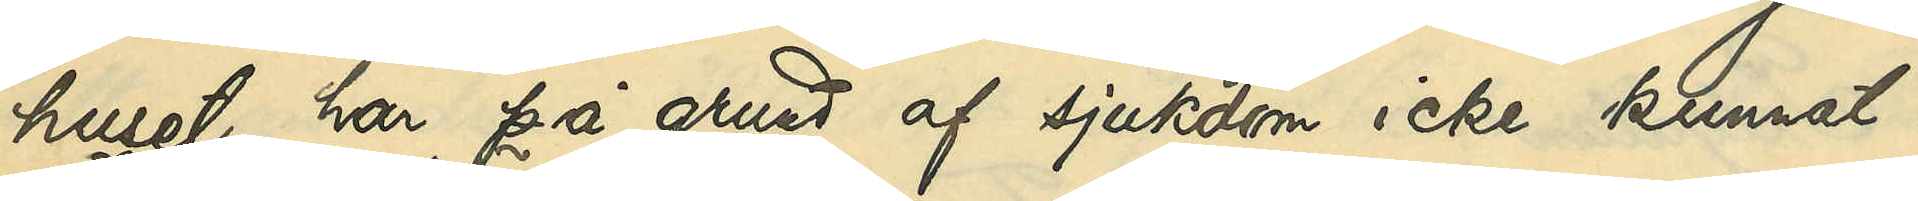huset, har på grund af sjukdom icke kunnat i
